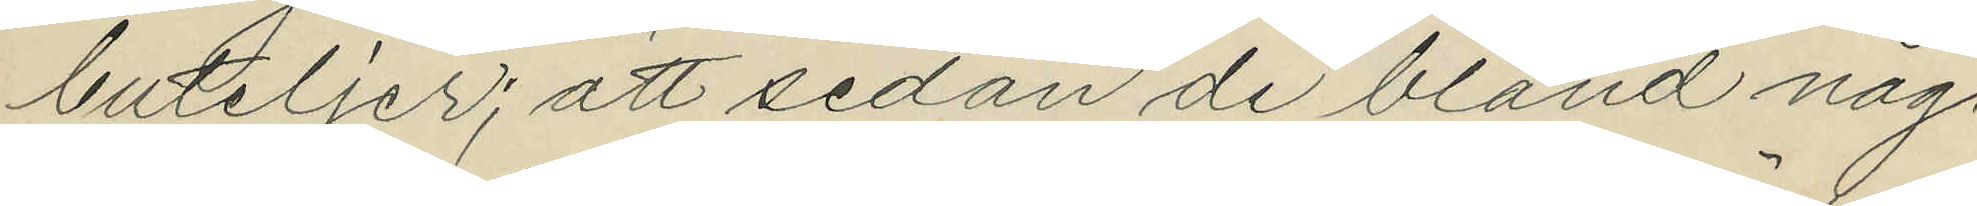buteljer; att sedan de bland någ¬
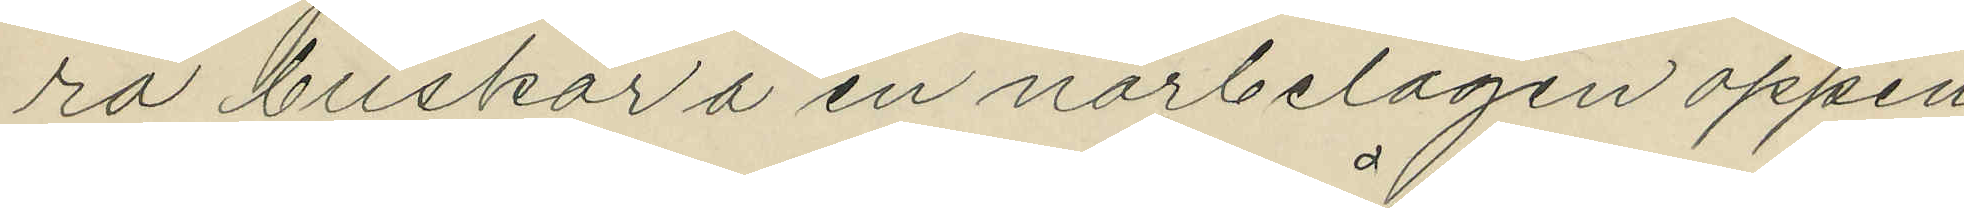ra buskar å en närbelägen öppen
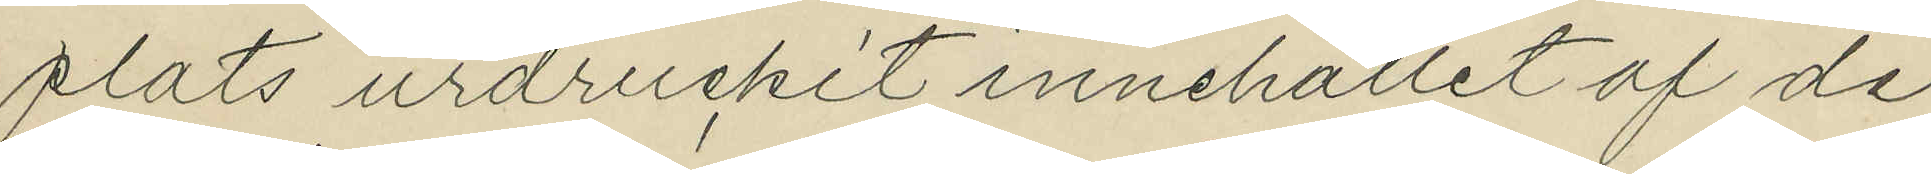plats urdruckit innehållet af de
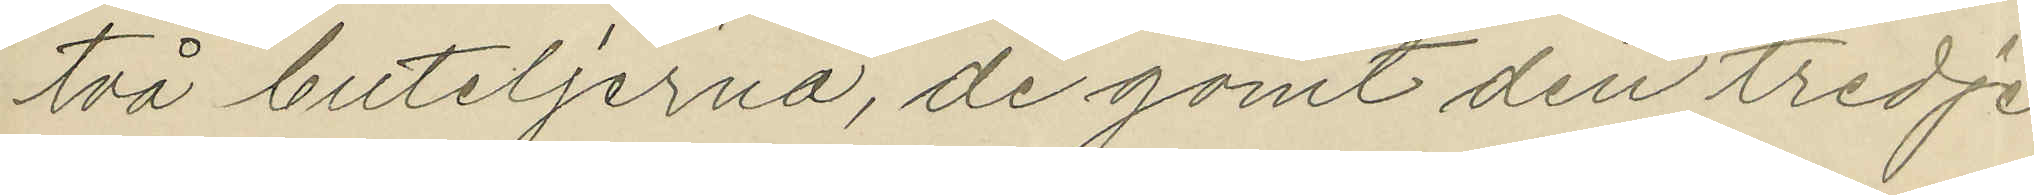två buteljerna, de gömt den tredje
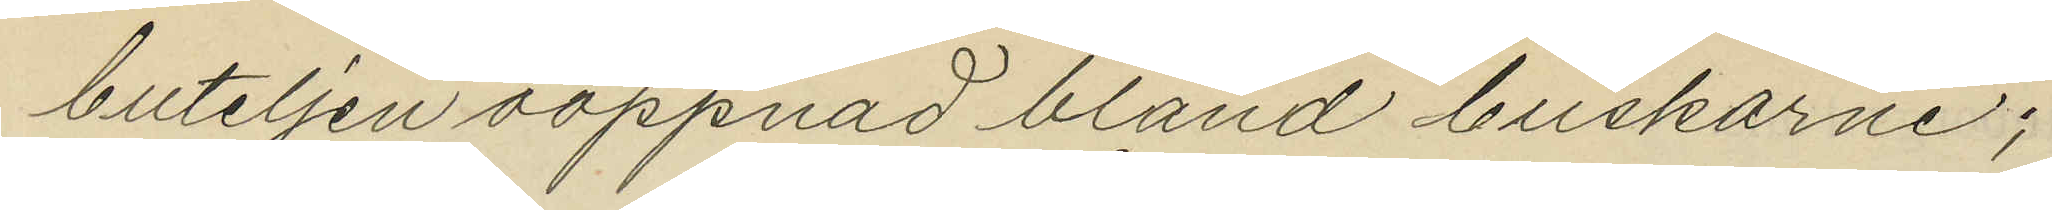buteljen oöppnad bland buskarne;
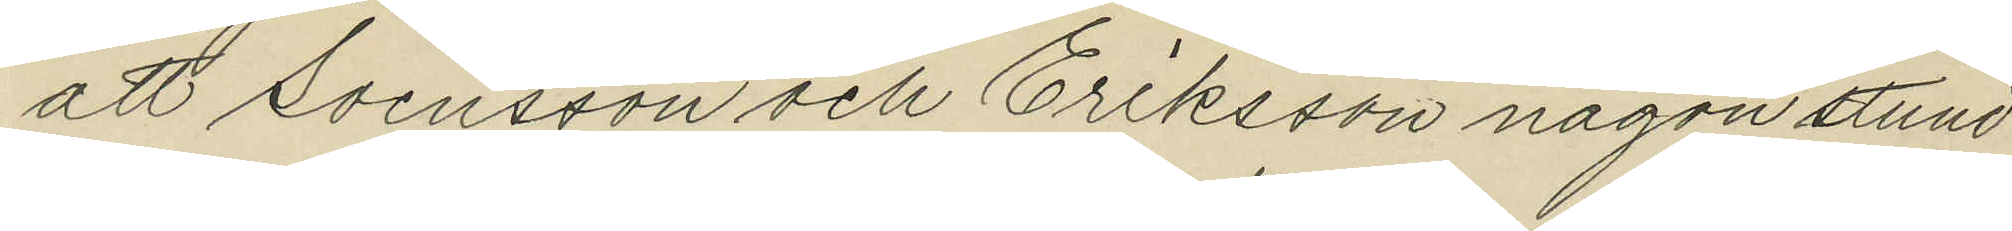att Svensson och Eriksson någon stund
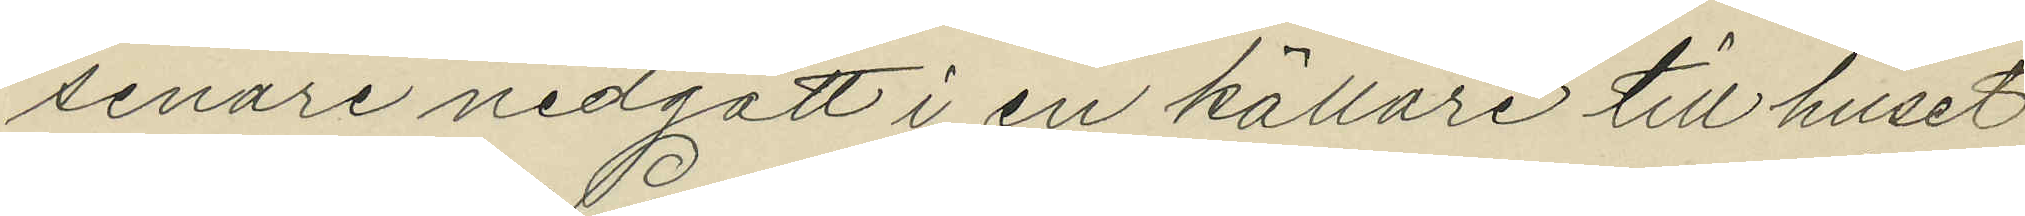senare nedgått i en källare till huset
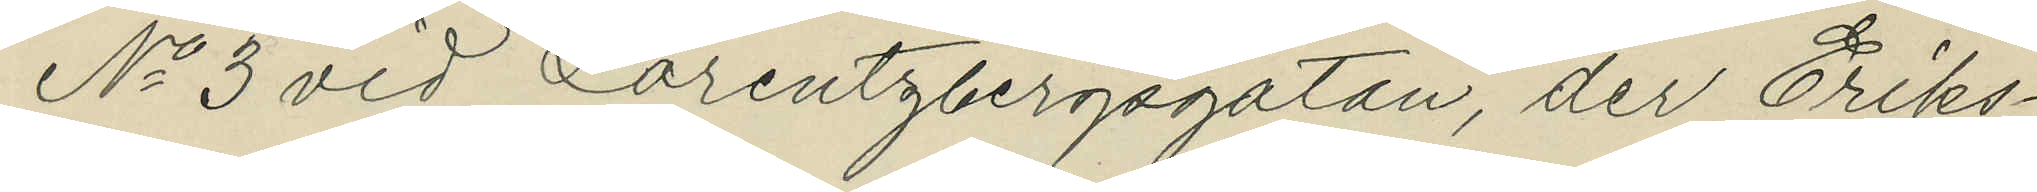No 3 vid Lorentzbergsgatan, der Eriks¬
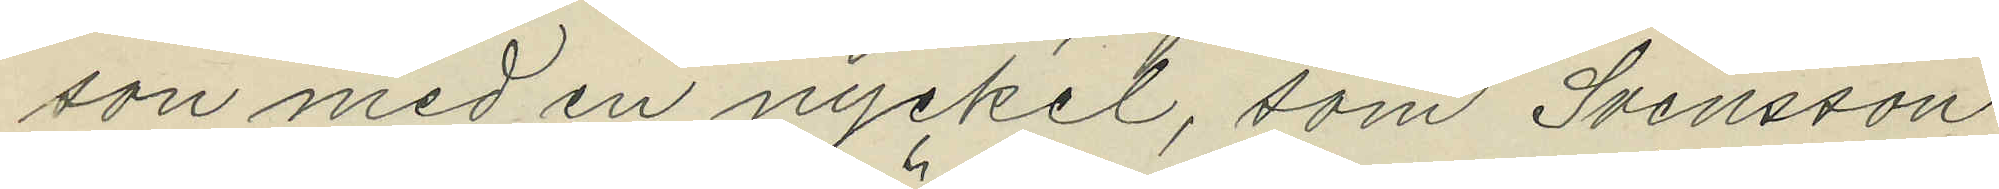son med en nyckel, som Svensson
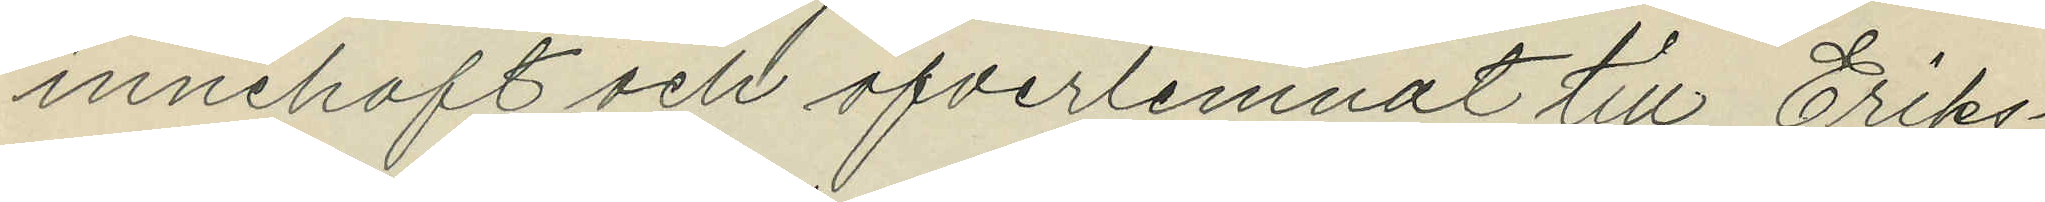innehaft och öfverlemnat till Eriks¬
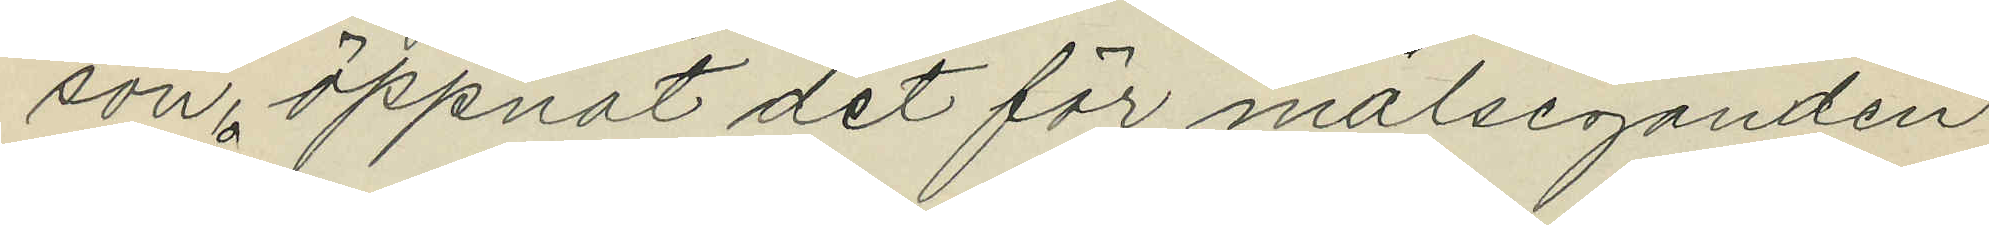son, öppnat det för målseganden
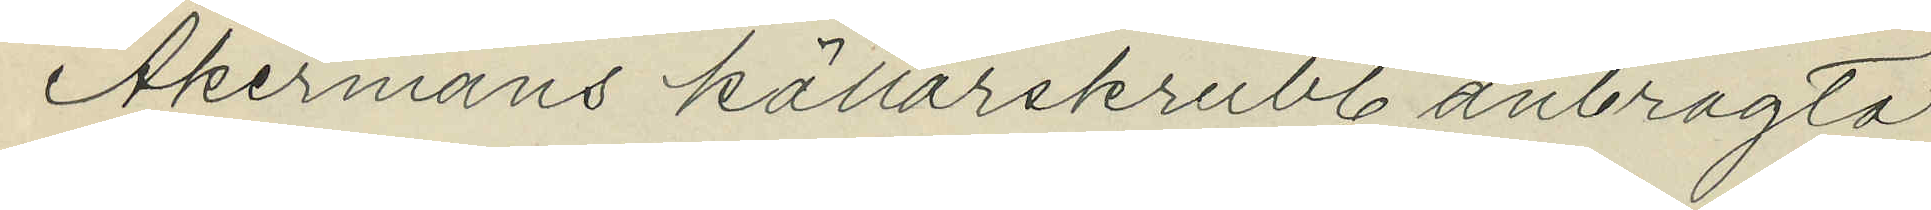Åkermans källarskrubb anbragta
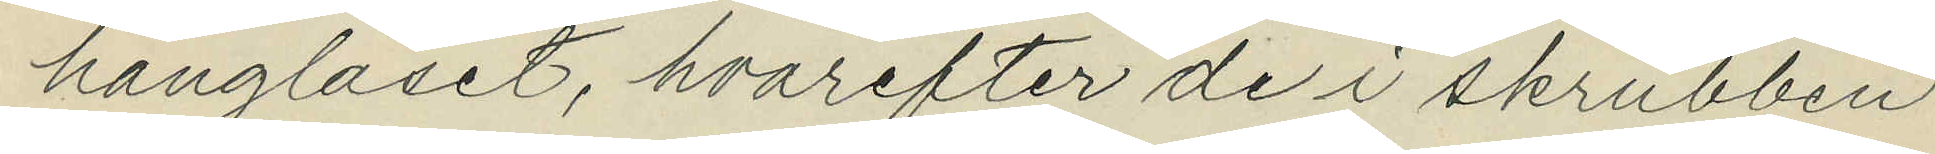hänglåset, hvarefter de i skrubben
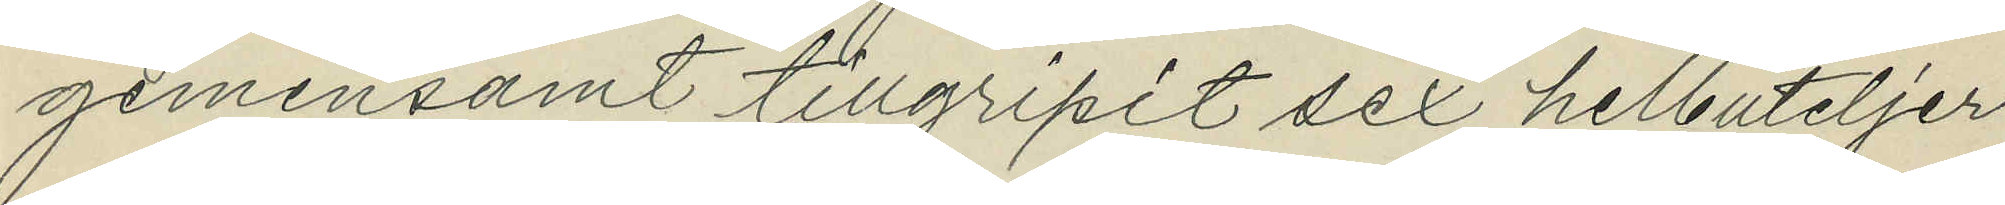gemensamt tillgripit sex helbuteljer
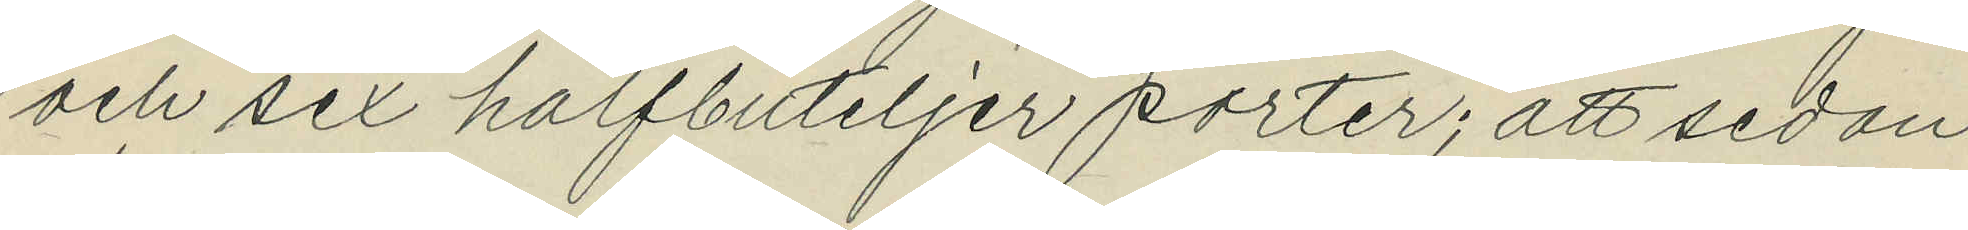och sex halfbuteljer porter; att sedan
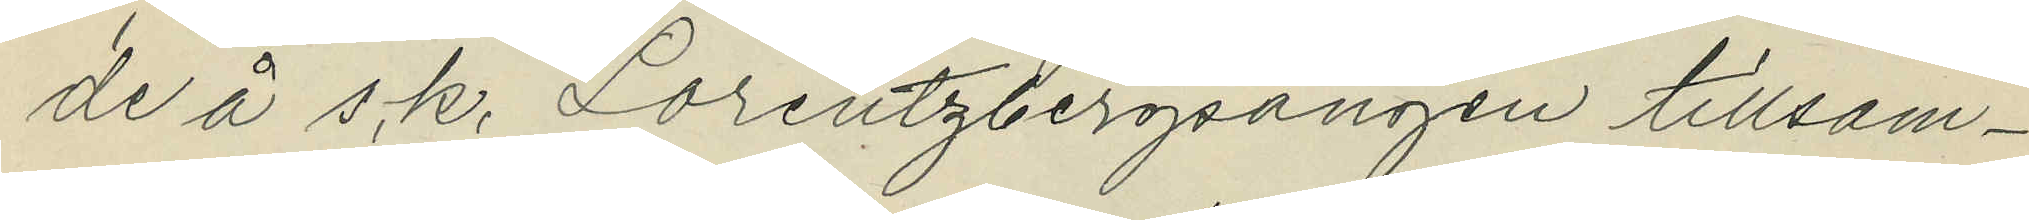de å s.k. Lorentzbergsängen tillsam¬
